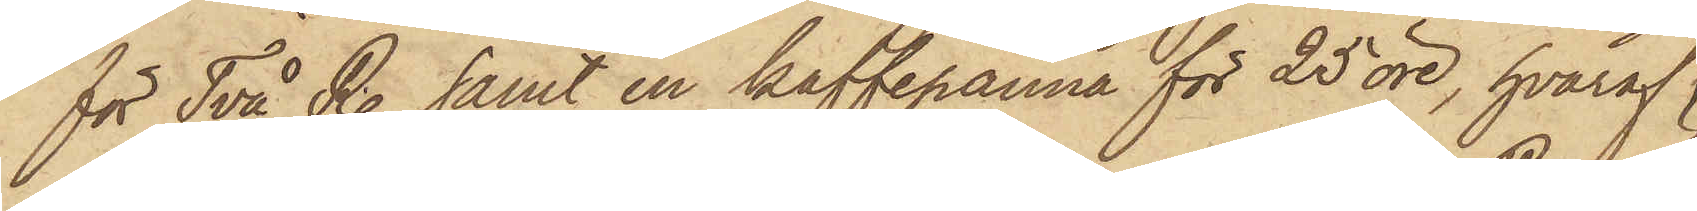för Två R. samt en kaffekanna för 25 öre, hvaraf
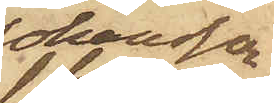Johansson
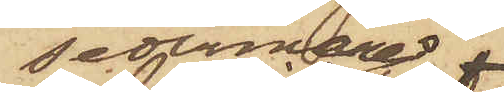sedermera
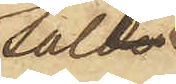sålt
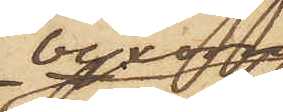byxorna
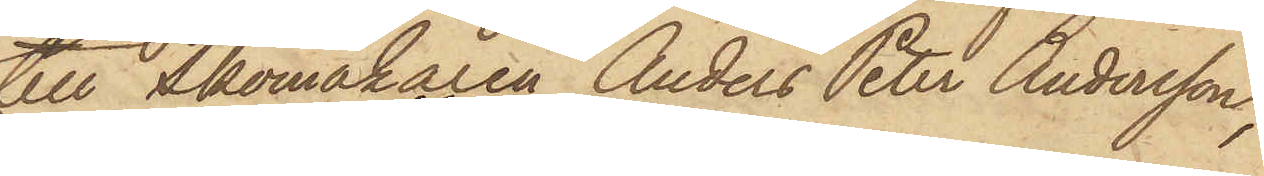till Skomakaren Anders Peter Andersson,
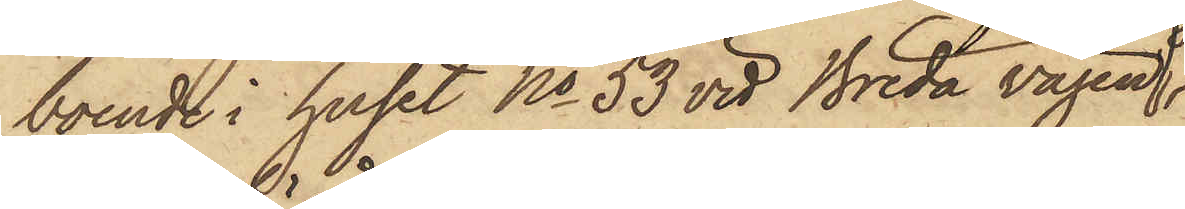boende i huset No 53 vid Breda vägen
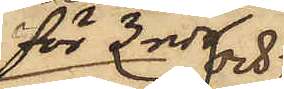för 3 rdr och
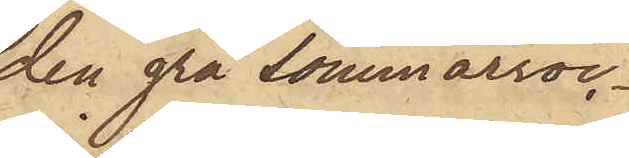den grå sommarroc¬
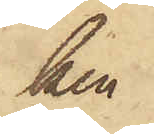ken
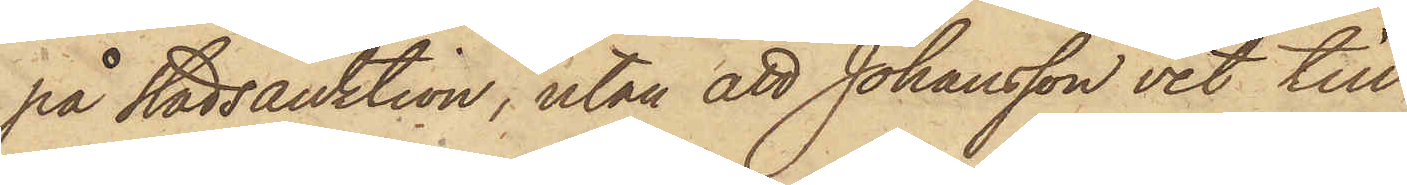på Stadsauktion, utan att Johansson vet till
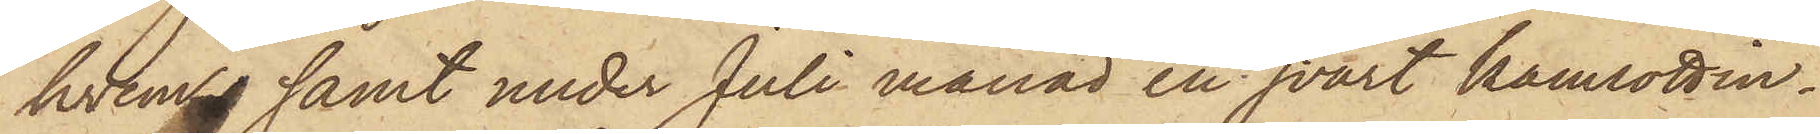hvem, samt under Juli månad en svart kamlottin¬
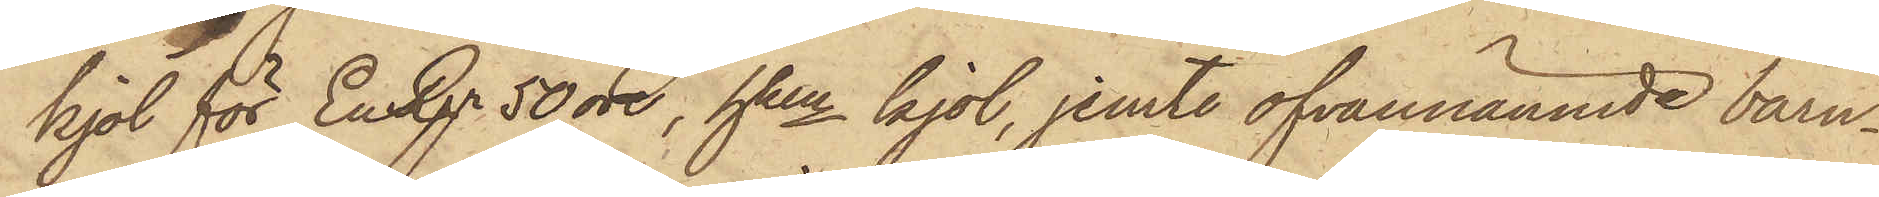kjol för En Rgr 50 öre, hken kjol, jemte ofvannämnde barn¬
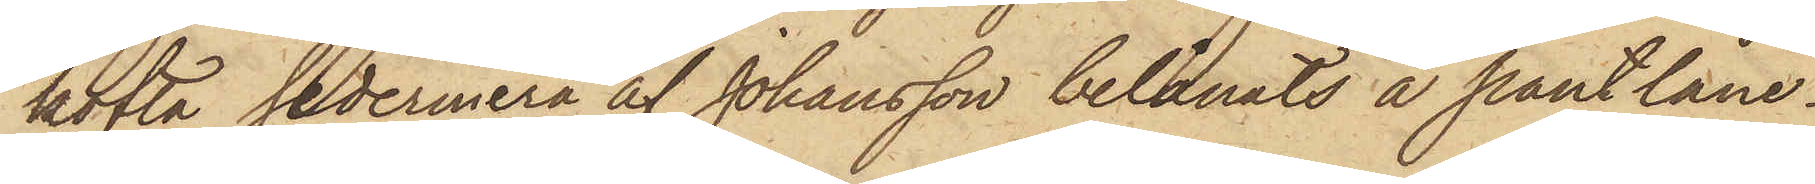kofta sedermera af Johansson belånats å pantlåne¬
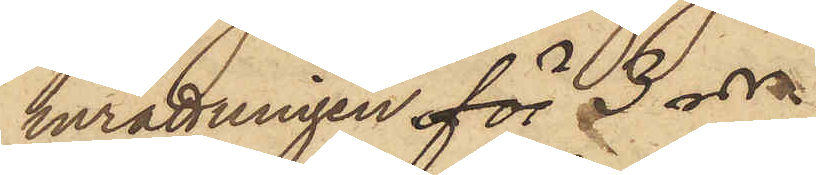inrättningen för 3 rdr.
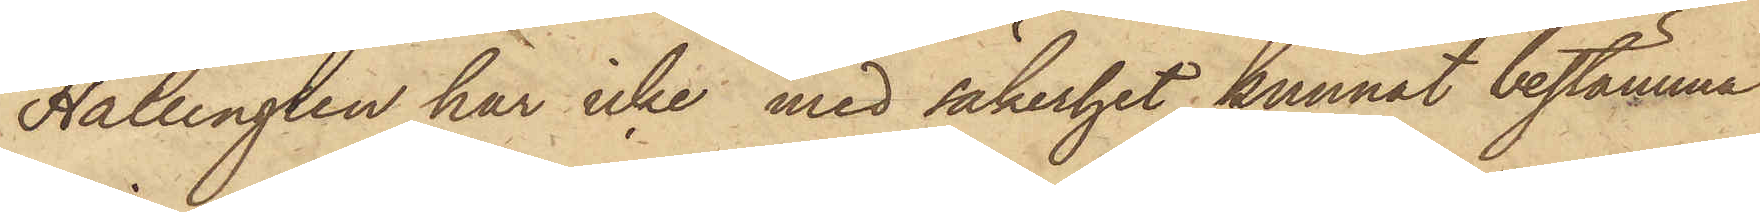Hallengren har icke med säkerhet kunnat bestämma
